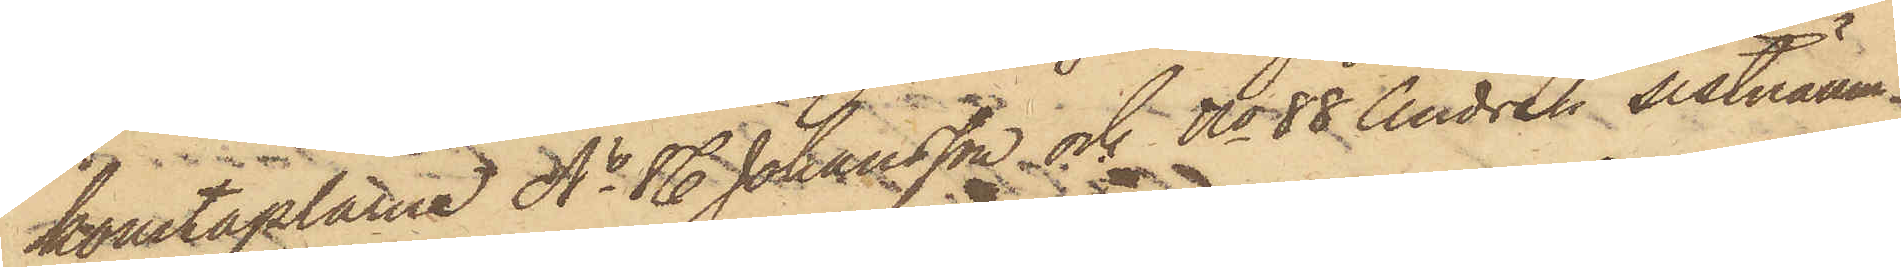konstaplarne No 86 Johansson och No 88 Andrén sistnämn¬
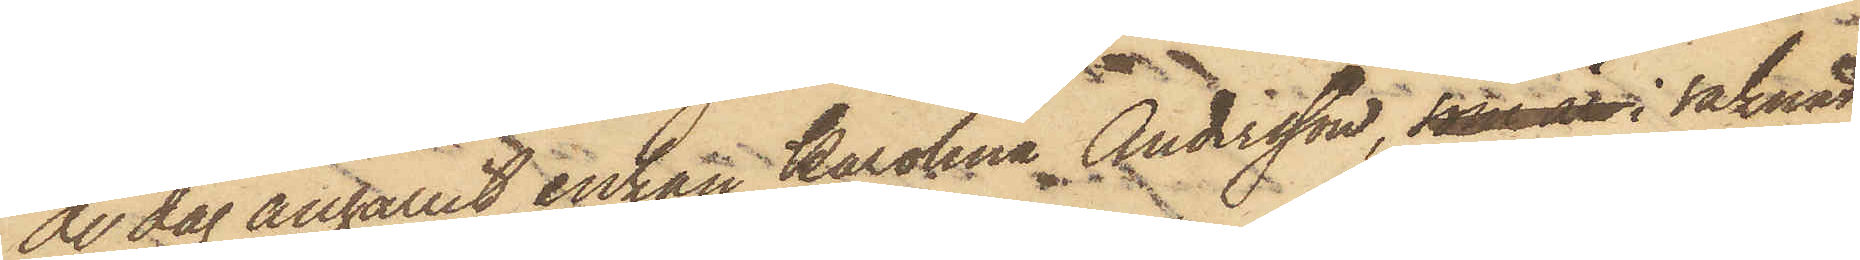de dag anhållit enkan Karolina Andersson, som är i saknad
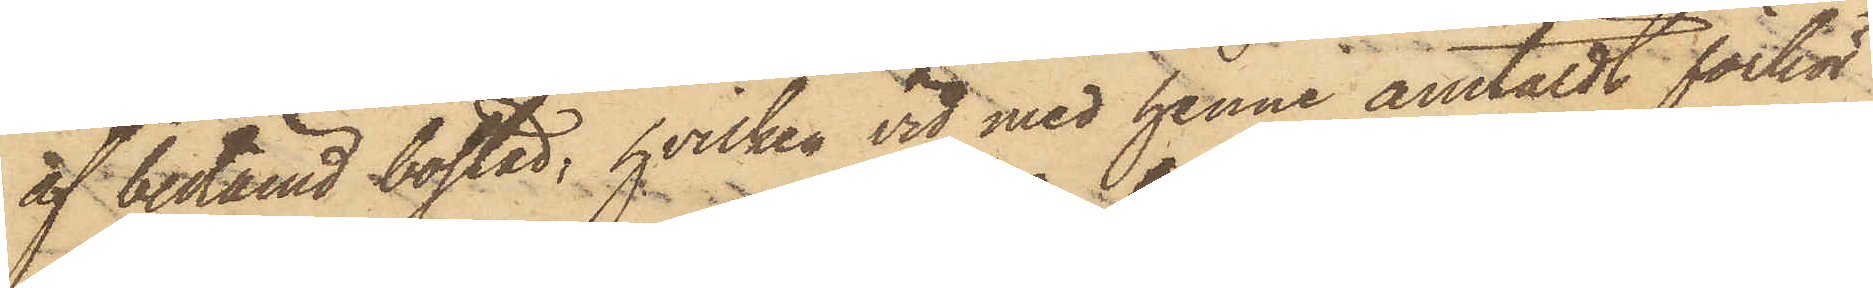af bestämd bostad, hvilken vid med henne anstäldt förhör
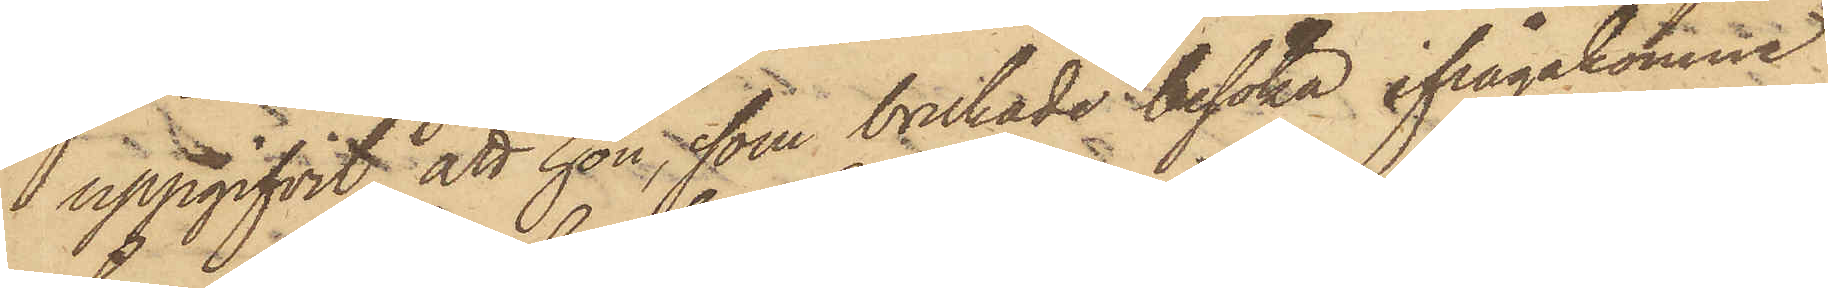 uppgifvit, att hon, som brukade besöka ifrågakomne
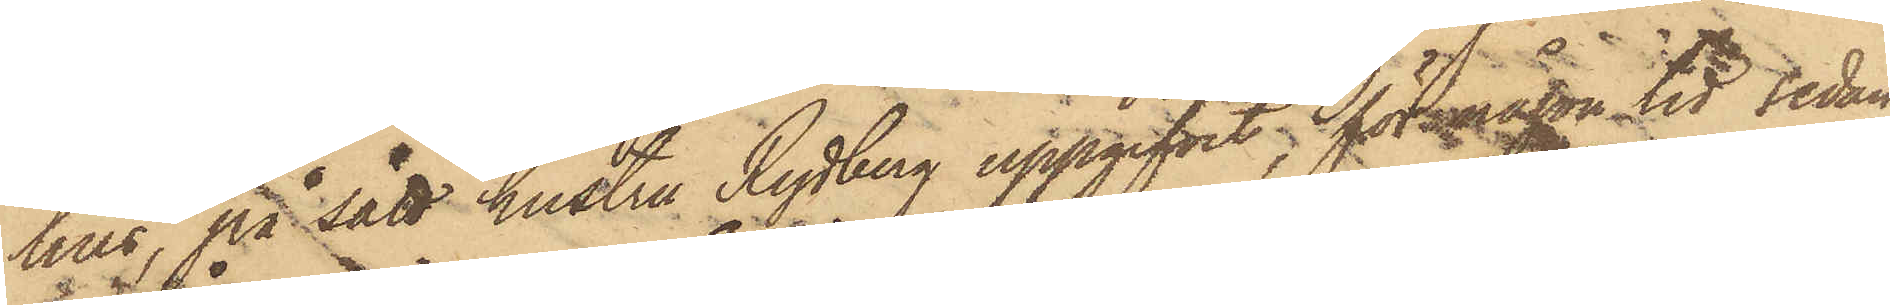hus, på sätt hustru Rydberg uppgifvit, för någon tid sedan
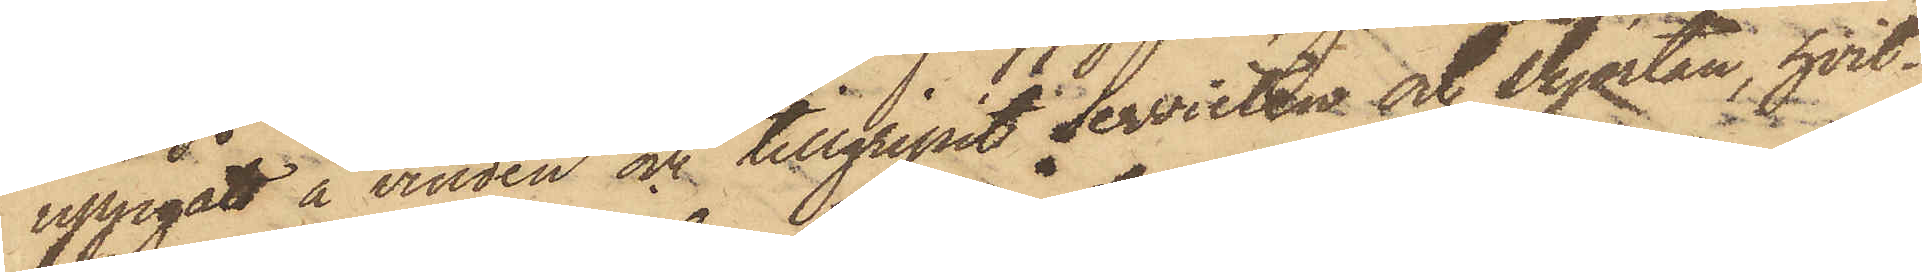uppgått å vinden och tillgripit servietten och skjortan, hvil¬
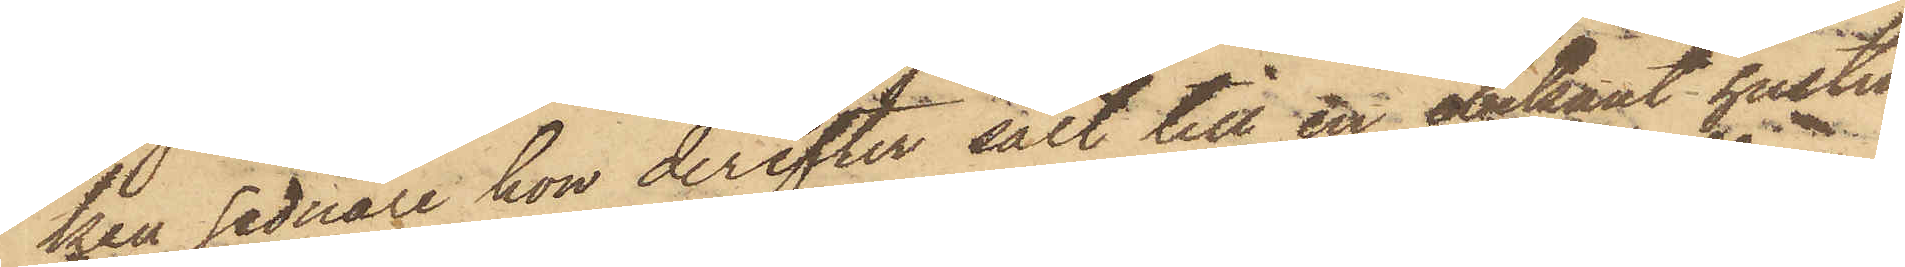ken sednare hon derefter sålt till en obekant hustru
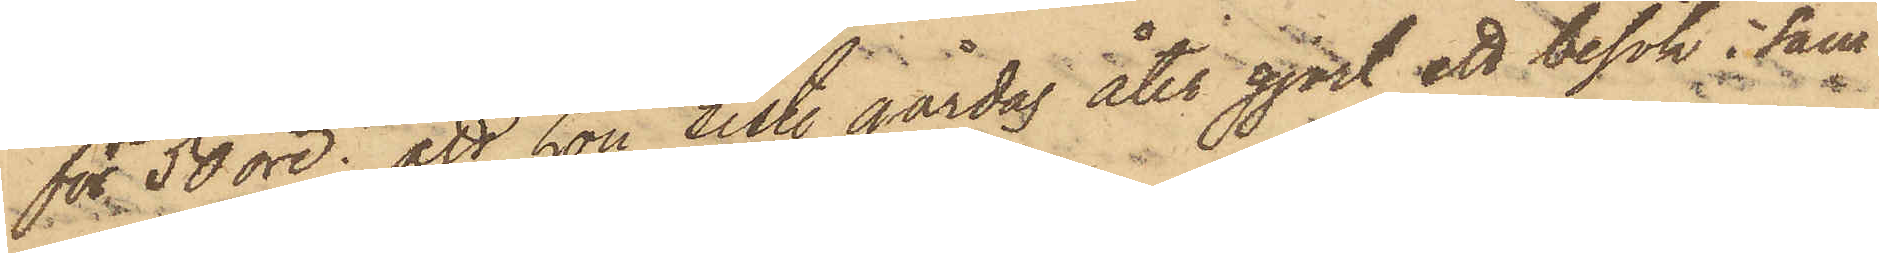för 50 öre; att hon sist. gårdag åter gjort ett besök i sam¬
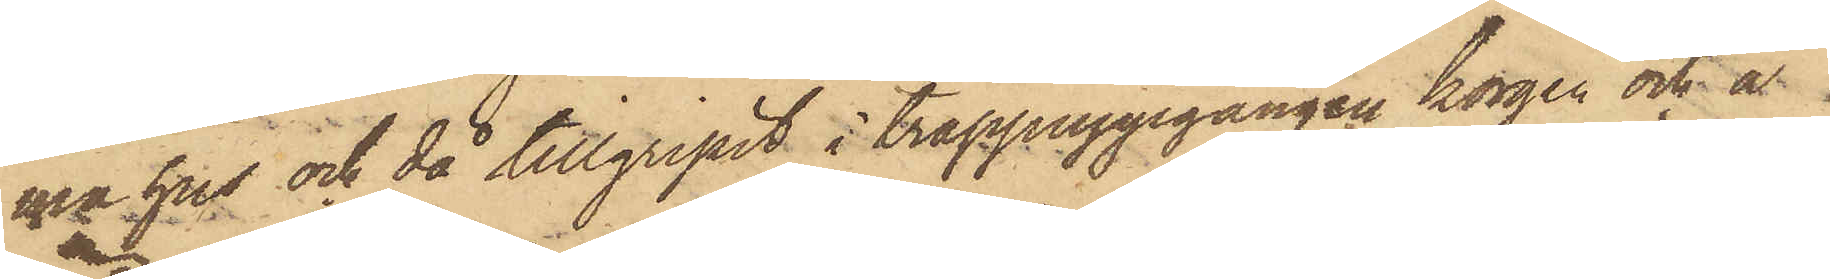ma hus och då tillgripit i trappuppgången korgen och å
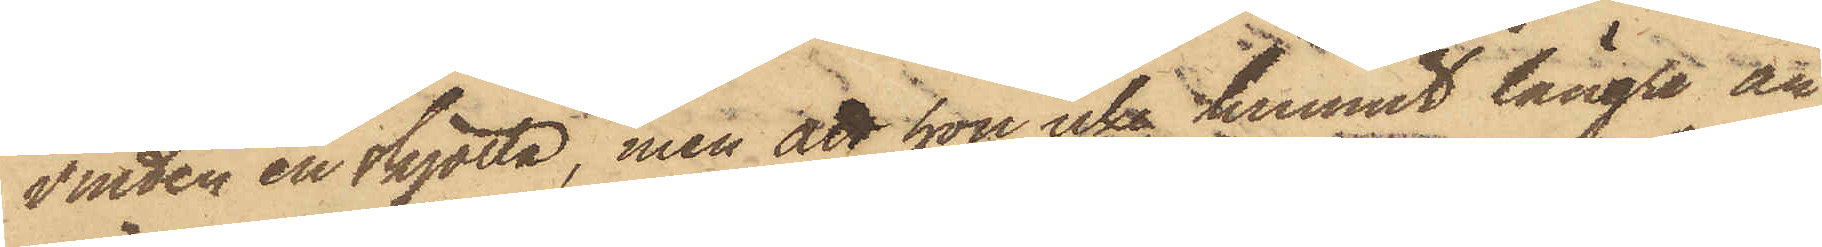vinden en skjorta, men att hon icke hunnit längre än
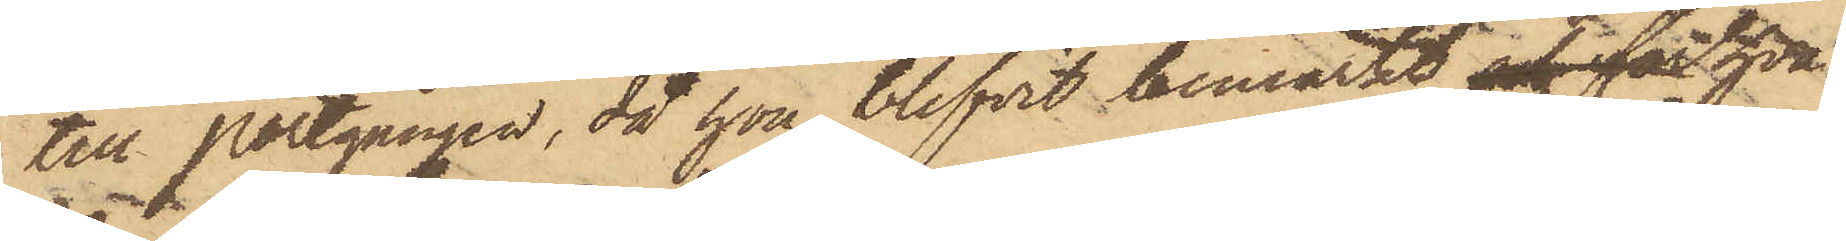till Portgången, då hon blifvit bemärkt, och för hva¬
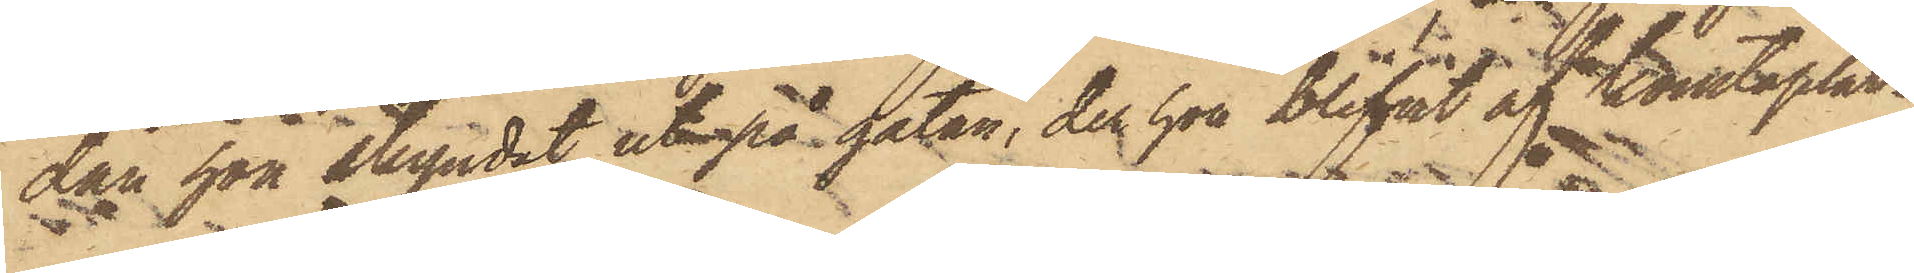dan hon skyndat ut på gatan, der hon blifvit af konstaplar¬
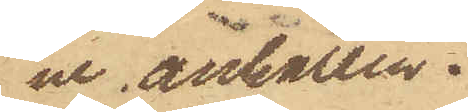ne anhållen.
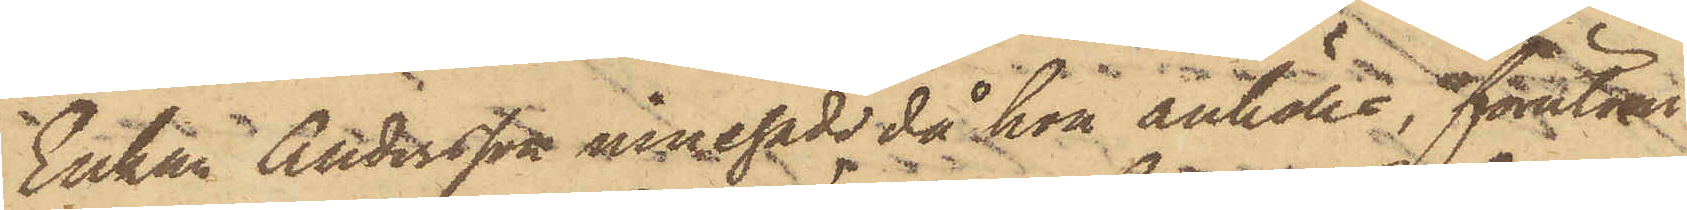Enkan Andersson innehade då hon anhölls, förutom
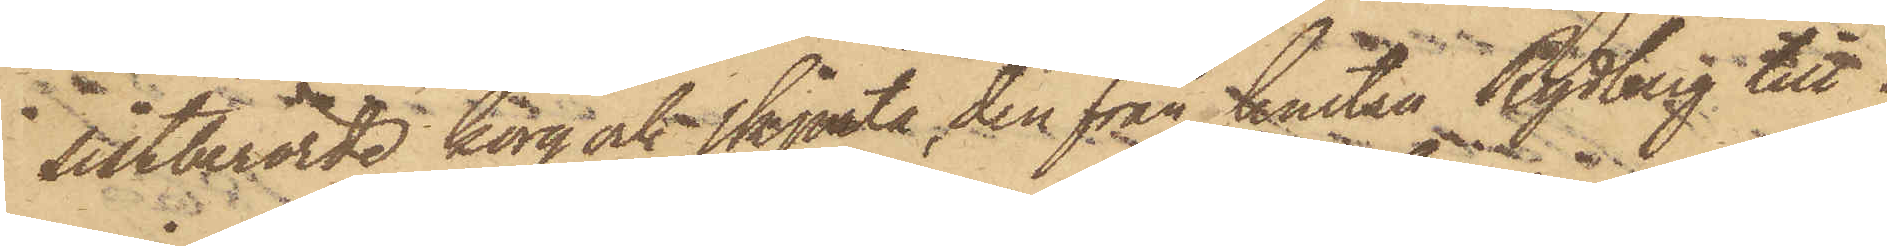sistberörde korg och skjorta, den från hustru Rydberg till¬
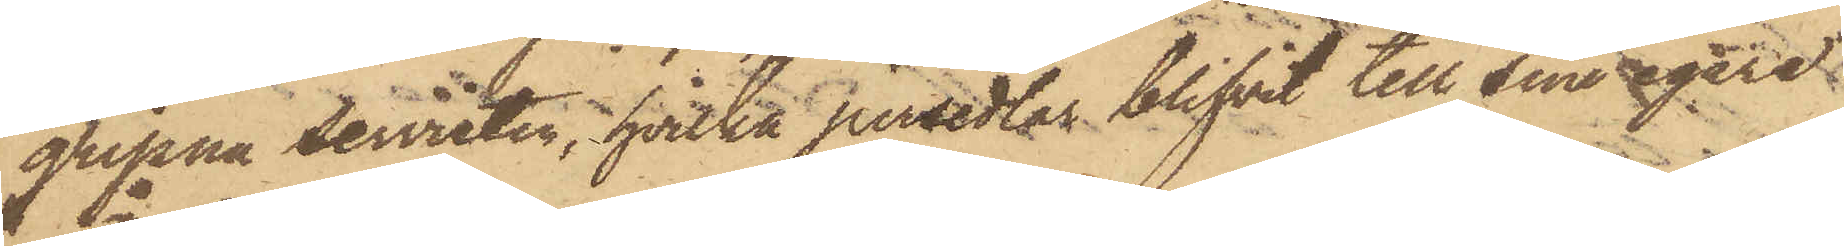gripna servietten, hvilka persedlar blifvit till sina egare
